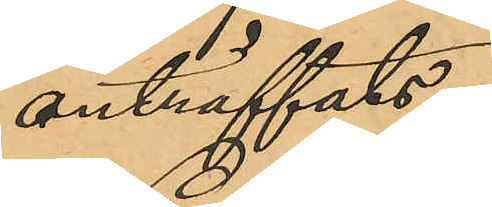anträffats.
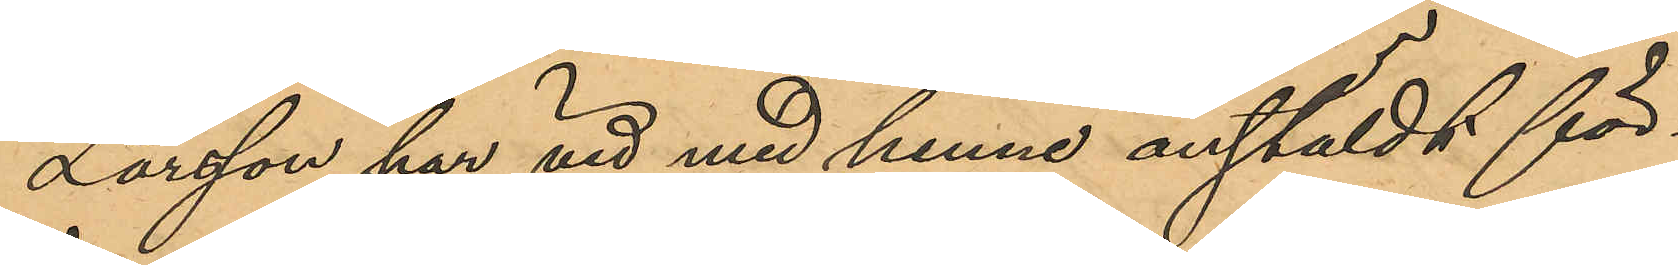Larsson har vid med henne anstäldt för¬
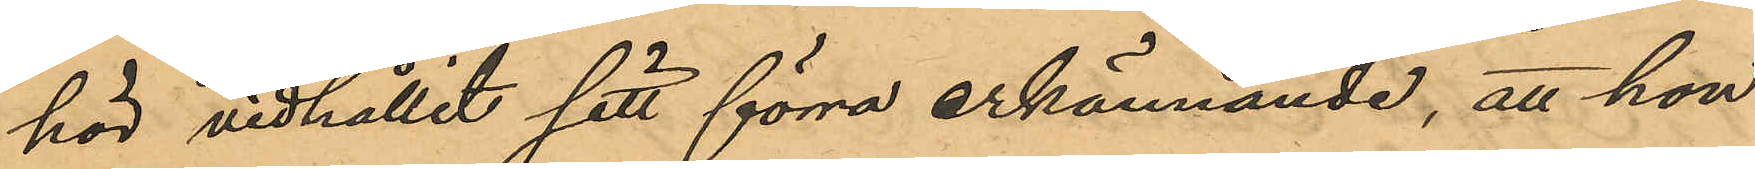hör vidhållit sitt förra erkännande, att hon
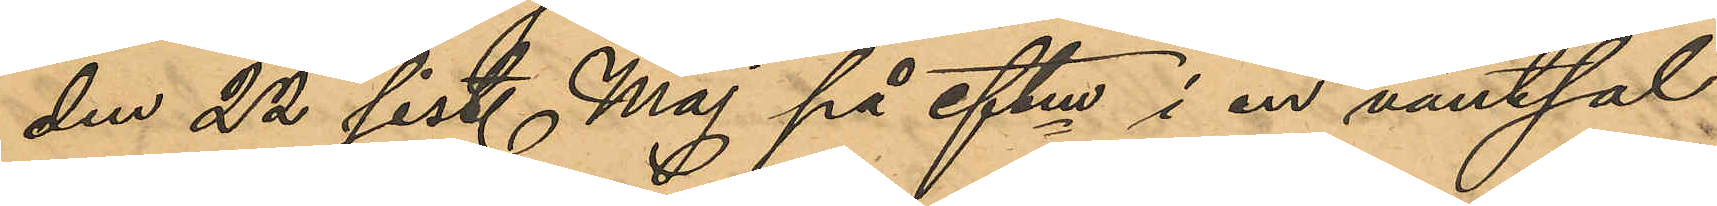den 22 sist. Maj på eftm i en väntsal
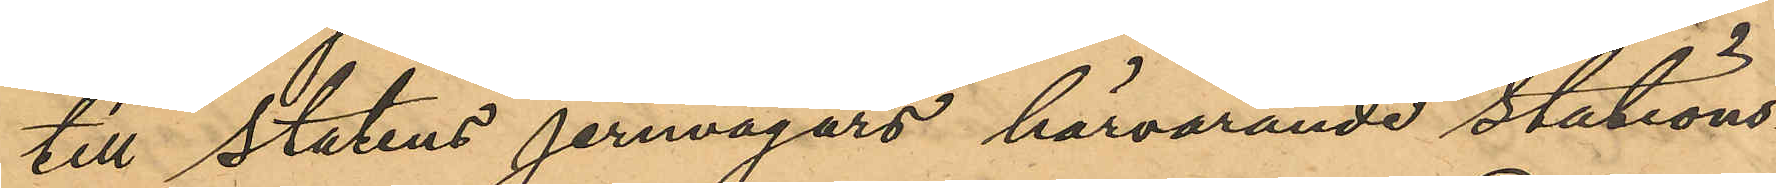till statens jernvägars härvarande stations¬
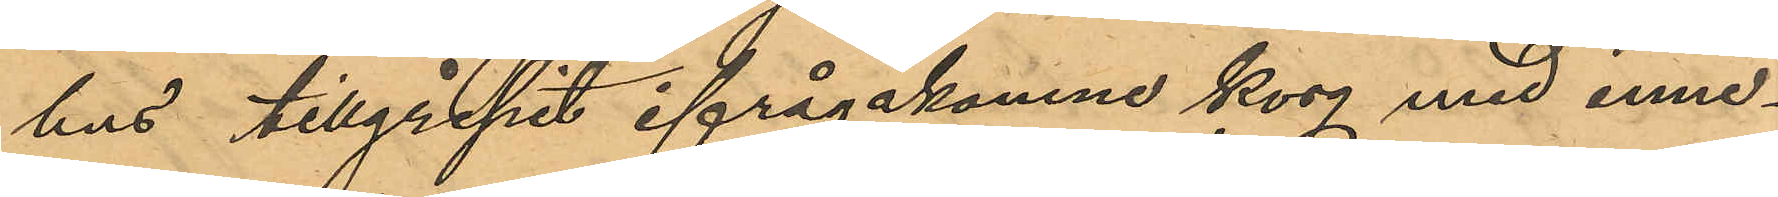hus tillgripit ifrågakomne korg med inne¬
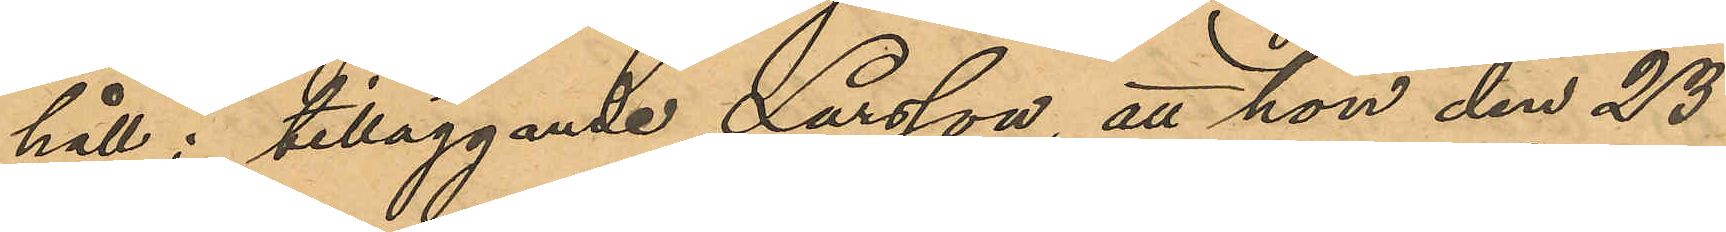håll; tilläggande Larsson, att hon den 23
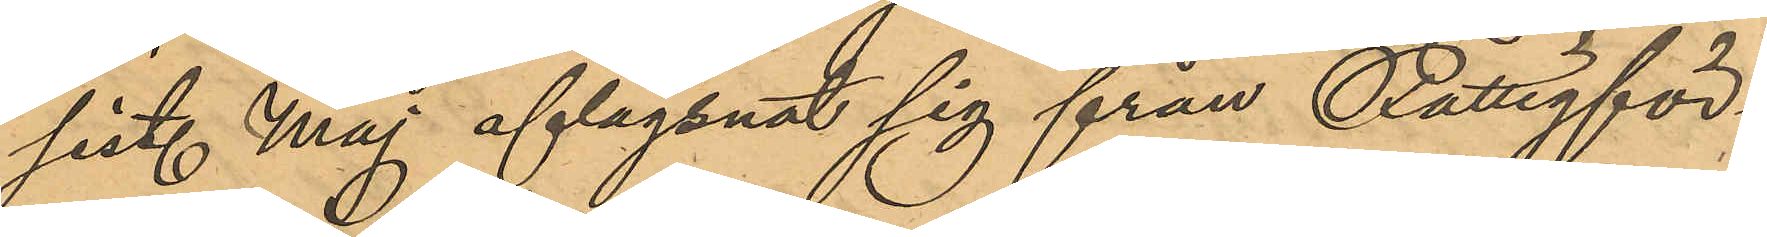sist. Maj aflägsnat sig från Fattigför¬
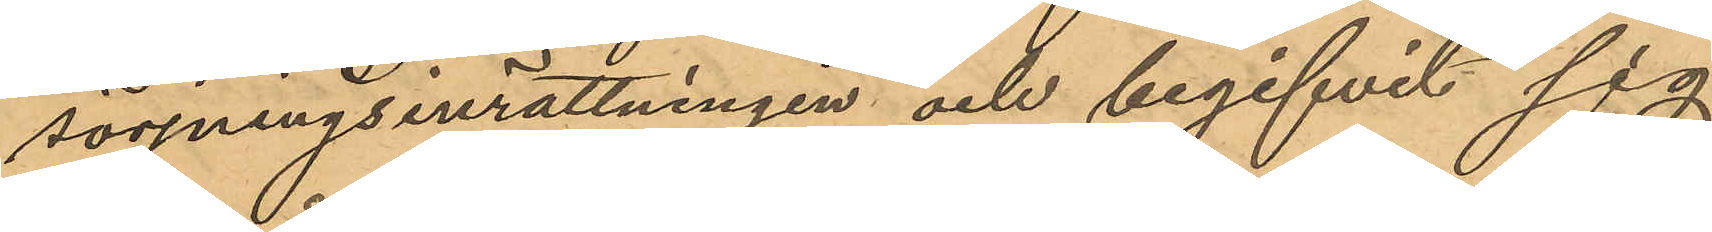sörjningsinrättningen och begifvit sig
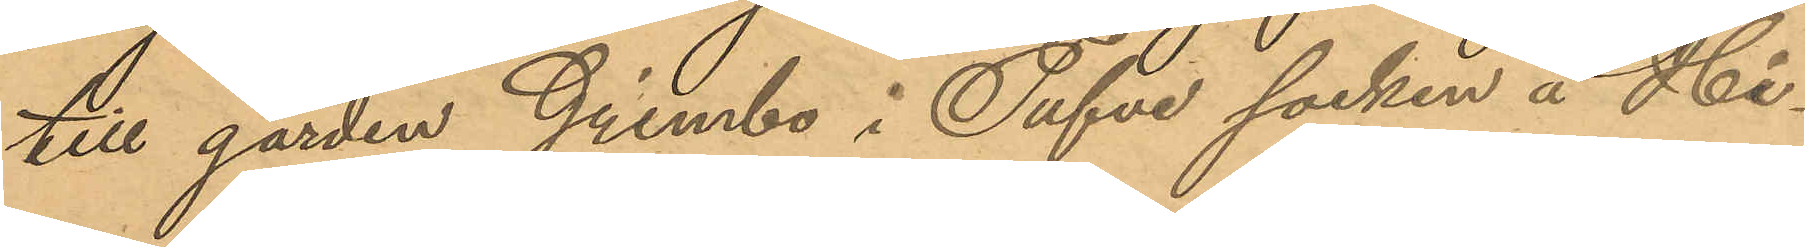till gården Grimbo i Tufve socken å Hi¬
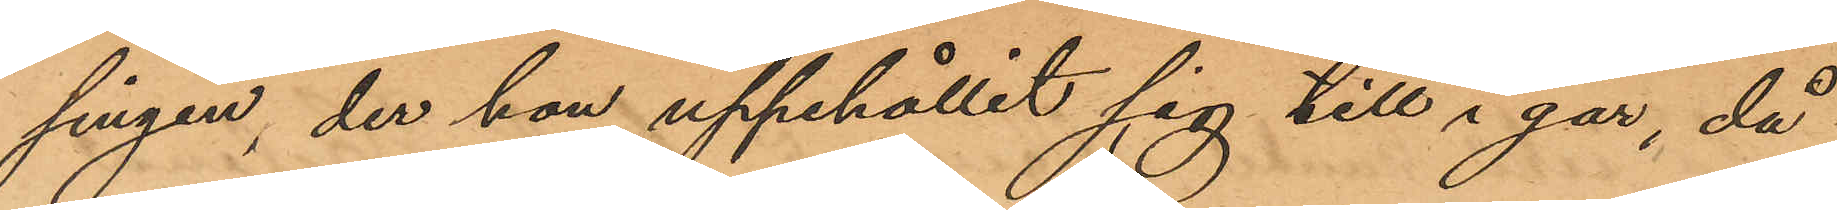singen, der hon uppehållit sig till i går, då
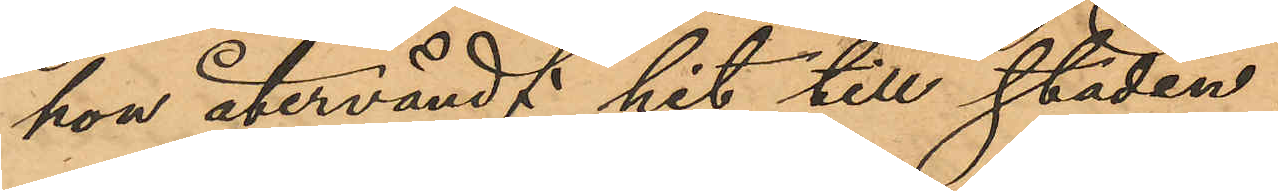hon återvändt hit till staden.
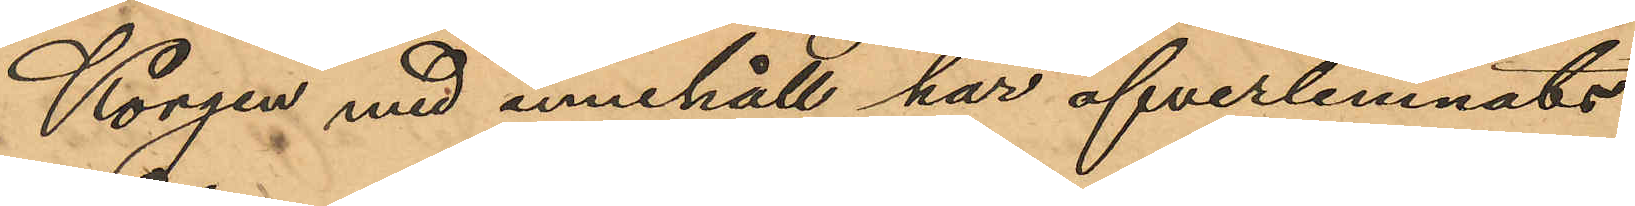Korgen med innehåll har öfverlemnats
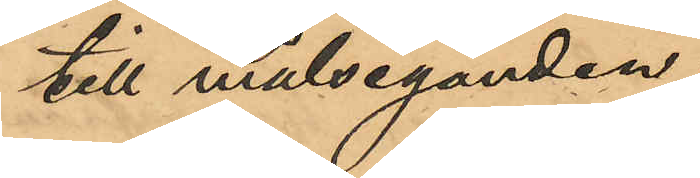till målseganden.
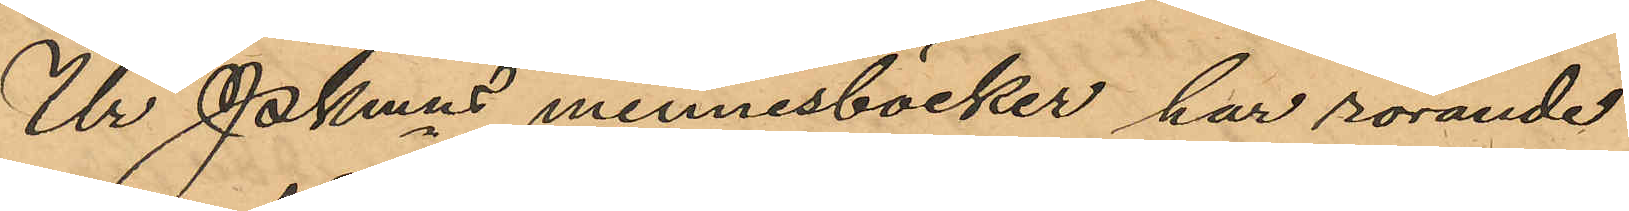Ur Pkmns minnesböcker har rörande
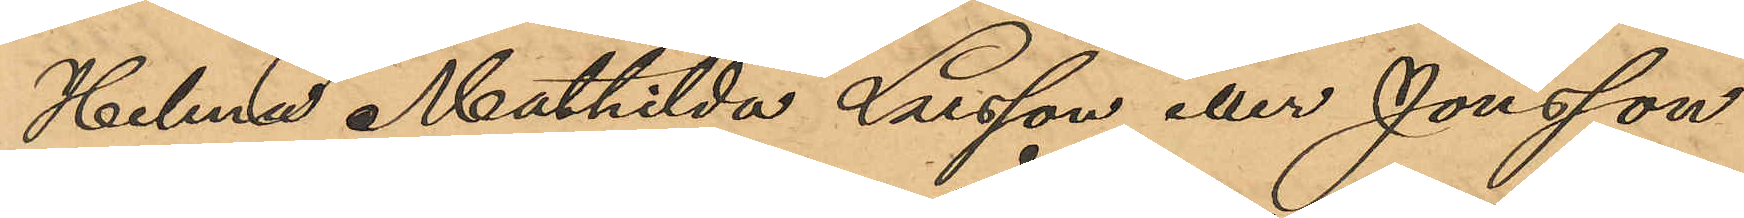Helena Mathilda Larsson eller Jonsson
